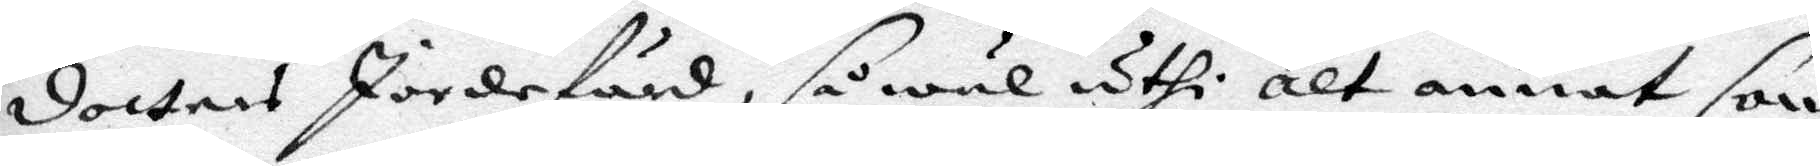dotters Jordefärd, så wäl uthi atl  annat som
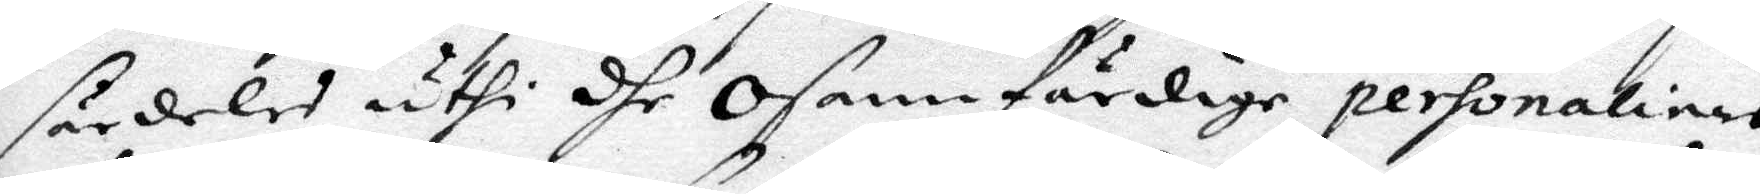särdeles uthi dhe Osannfärdige personalinas
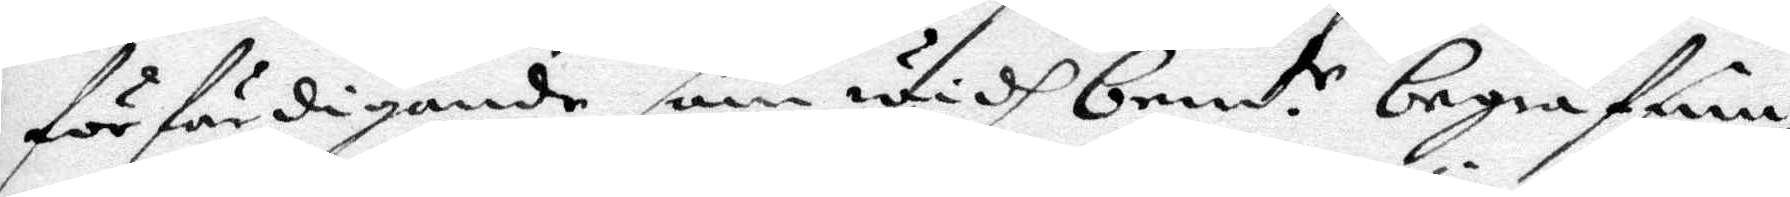förfärdigande som uthi bemt. e begrafning
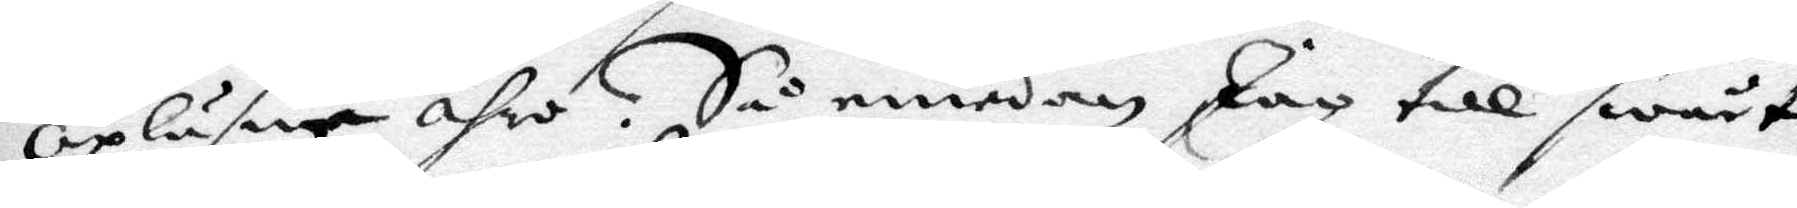opläsne ähro. Så emedan Jag till swårt
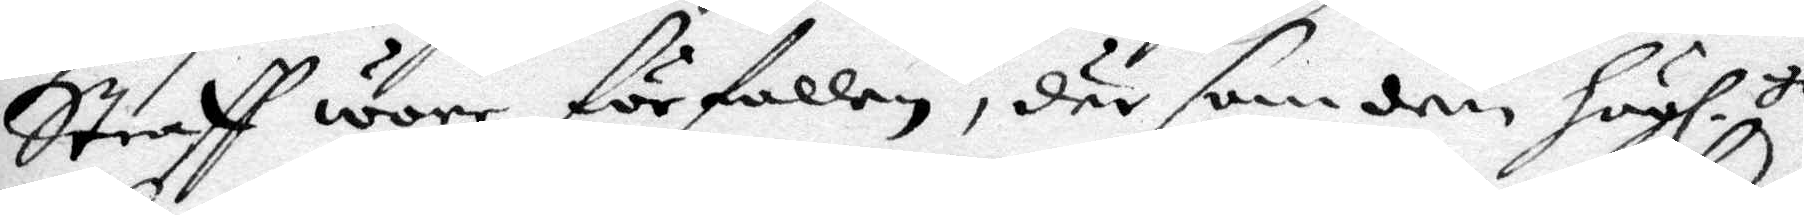Straff wore förfallen, där som den högl. ts
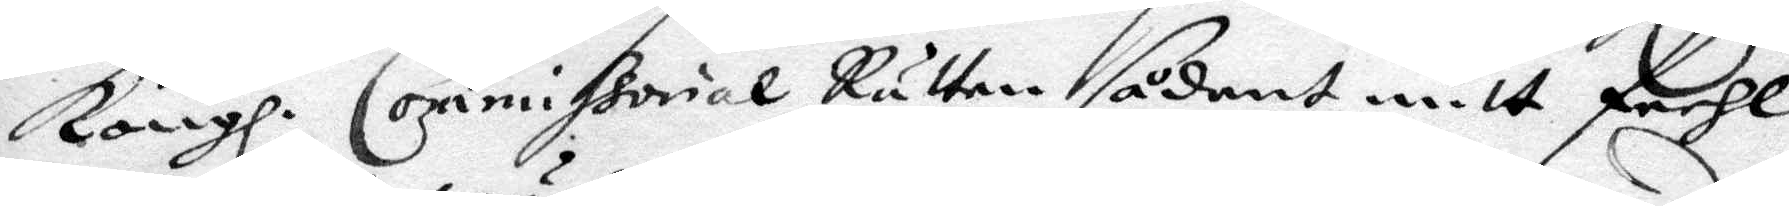Kongl. Commissorial Rätten sådant mitt feehl
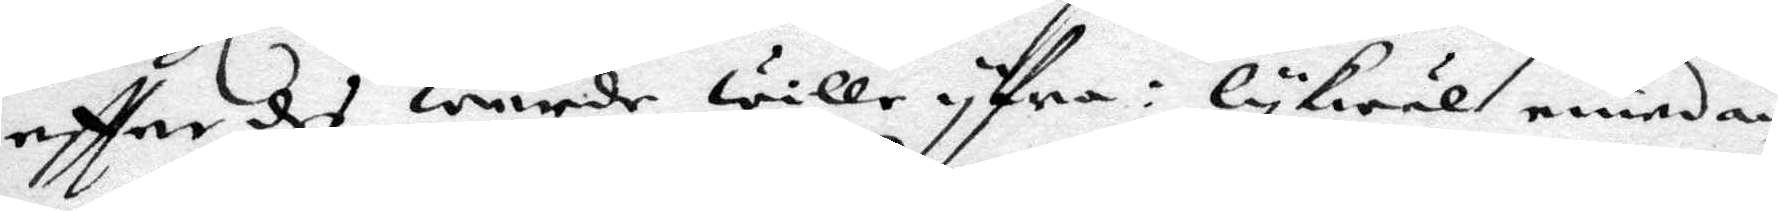effter det wurde wille yfra: lykwäl emedan
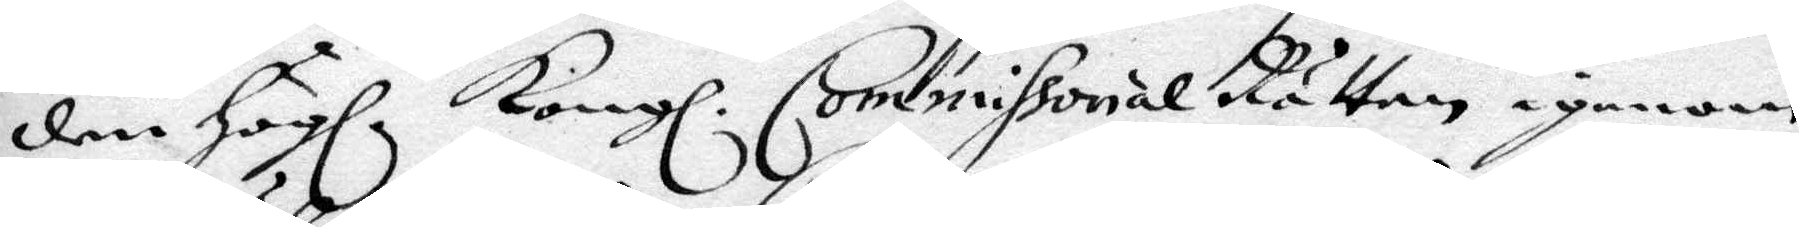den Högl. Kongl. Commissorial Rätten igenom
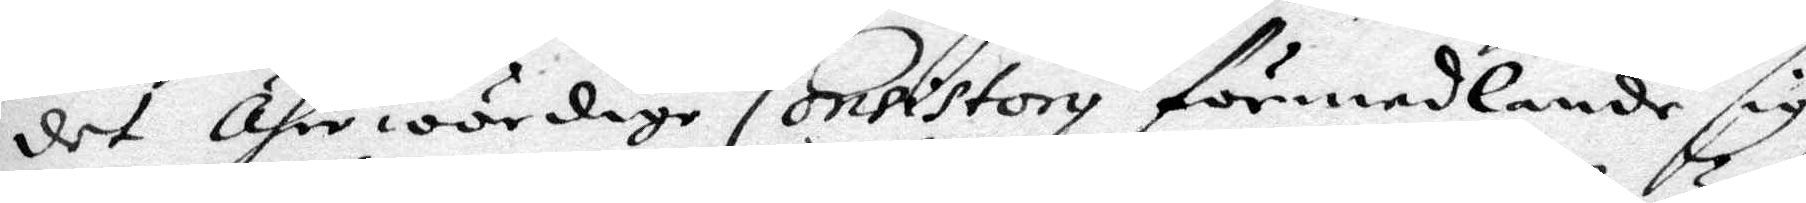det Ähre wördige Consistory förmedlande sig
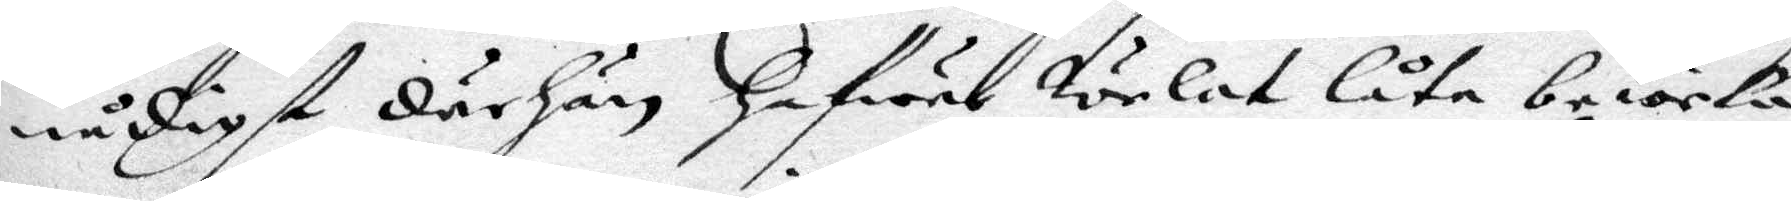nådigt därhän hafwur welat låta beweka
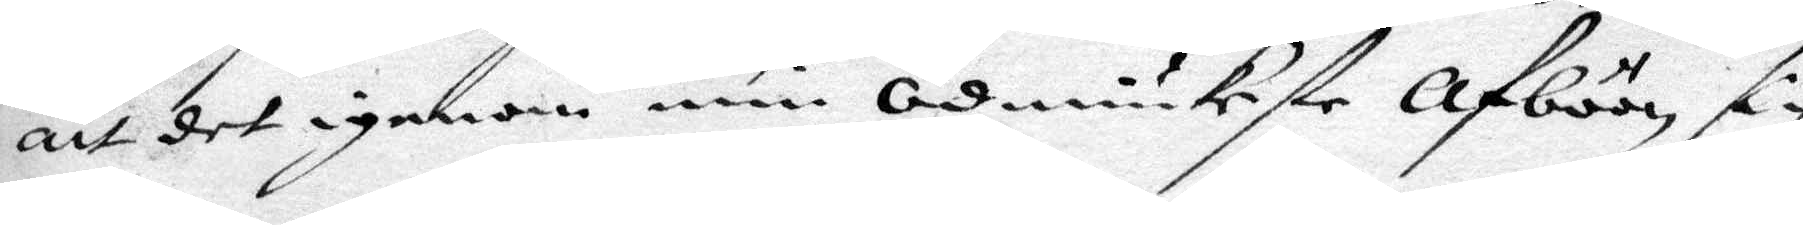att det igenom min Ödmjukeste Afböön, sig
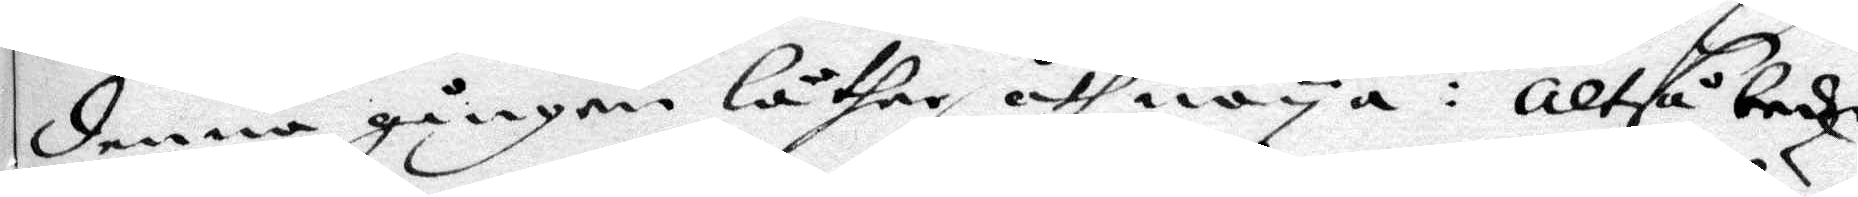denna gången låther Åthnöya: Altså beder
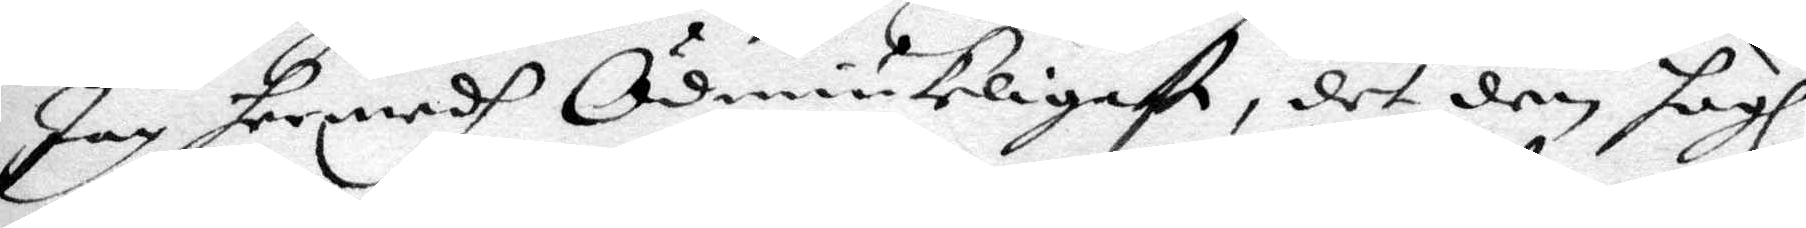Jag hermedh Ödmiukeligast, det den högl.
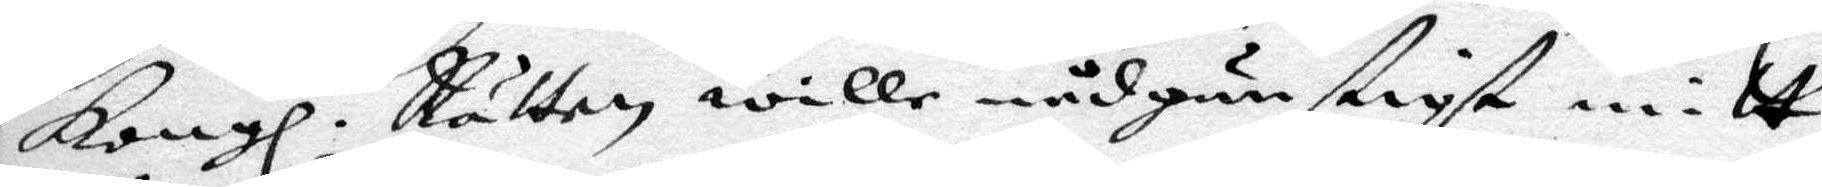Kongl. Rätten wille nådgunstigst mitt
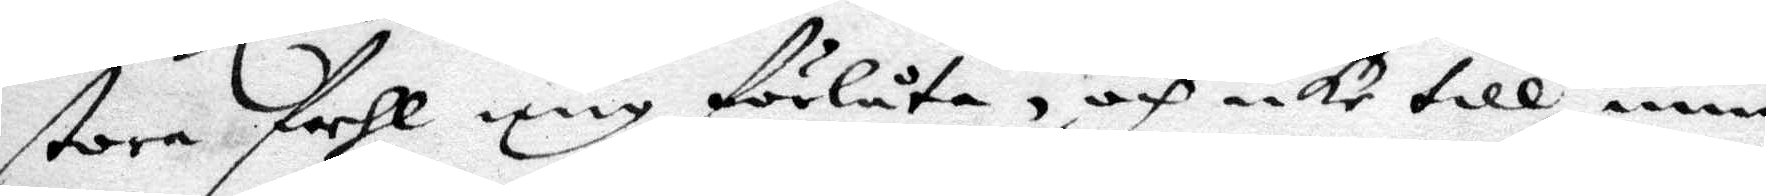stora feehl mig förlåta, och icke till min
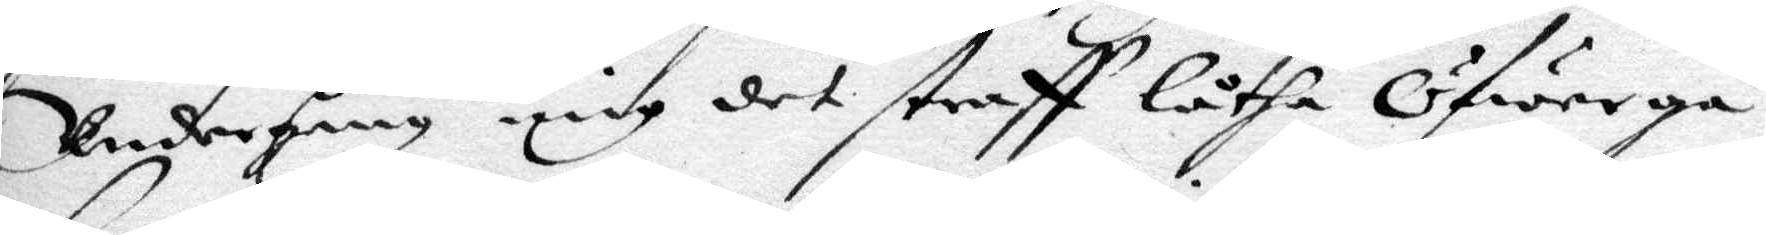Undergång mig det straff låtha Öfwergå
